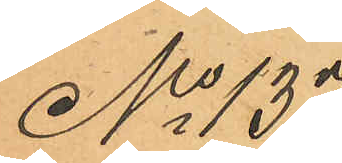No 137
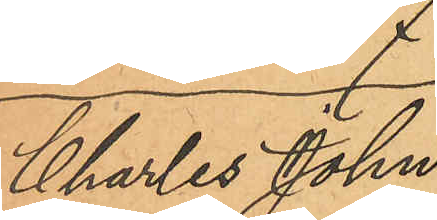Charles John
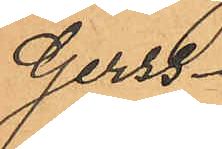Gerss
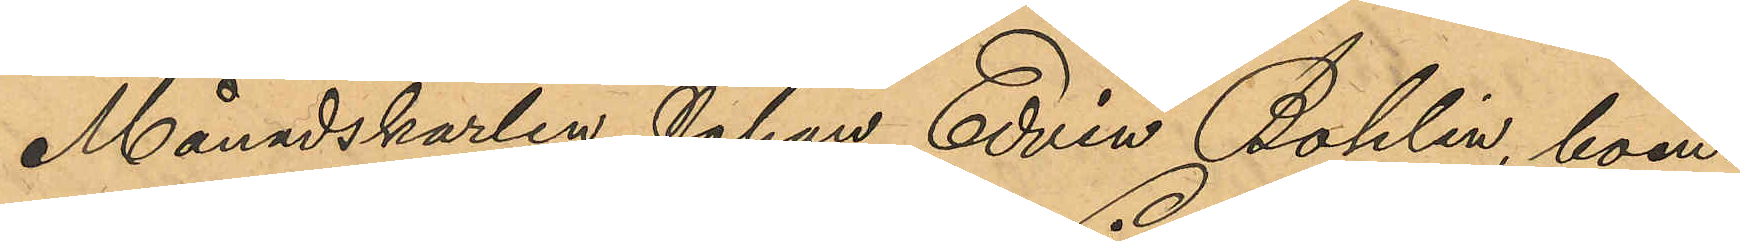Månadskarlen Johan Edvin Bohlin boen¬
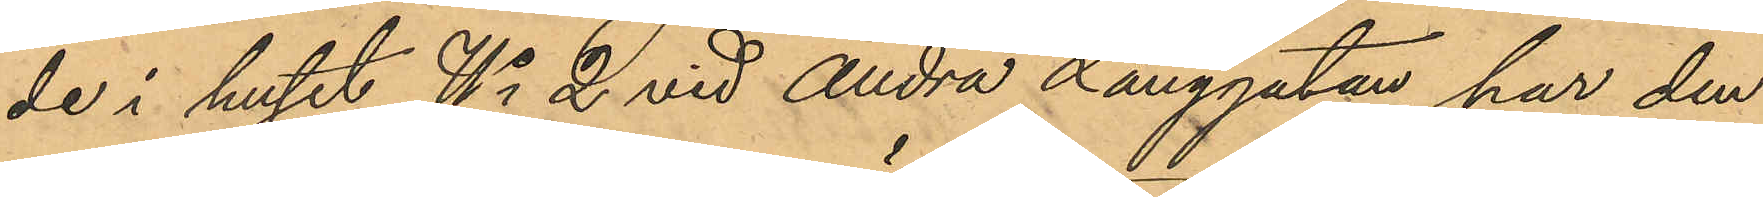de i huset No 2 vid Andra Långgatan har den
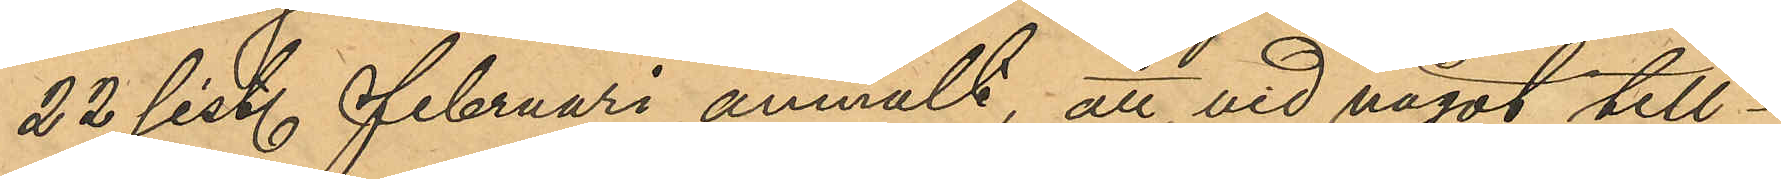22 sist. Februari anmält, att vid något till¬
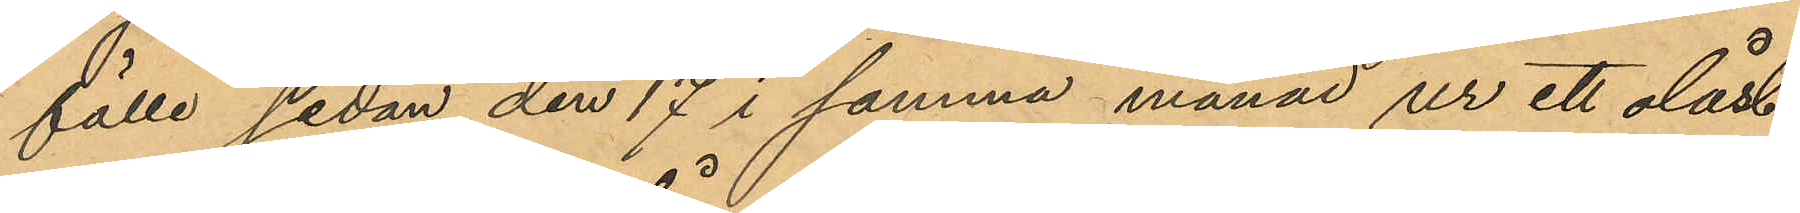fälle sedan den 17 i samma månad ur ett olåst
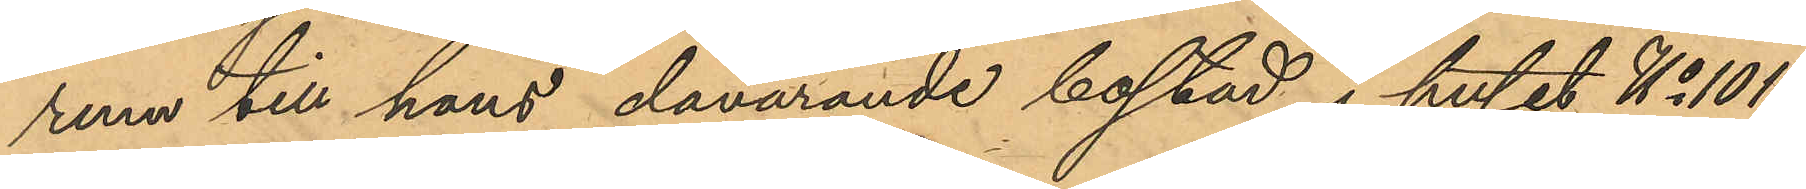rum till hans, dåvarande bostad i huset No 101
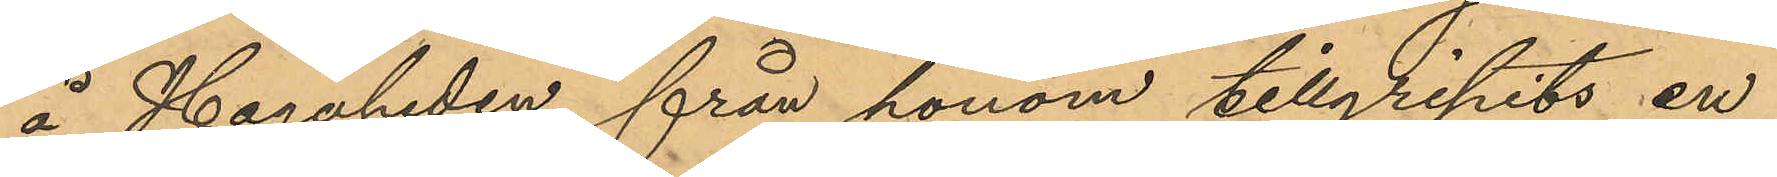å Hagaheden, från honom tillgripits en
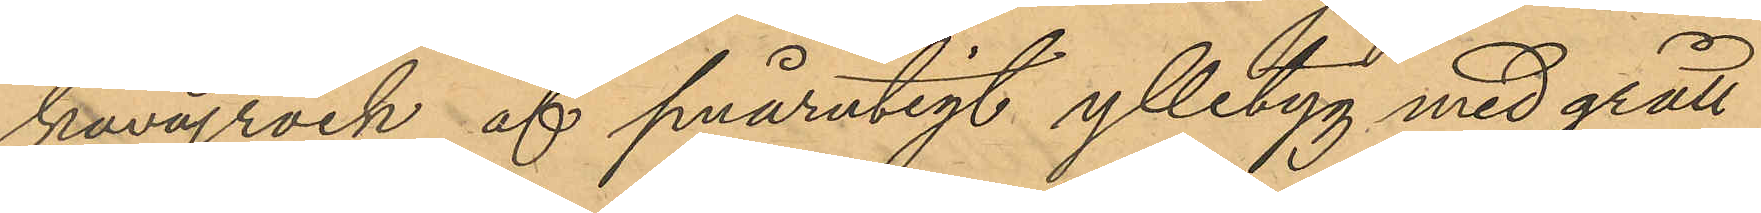kavajrock af smårutigt ylletyg med grått
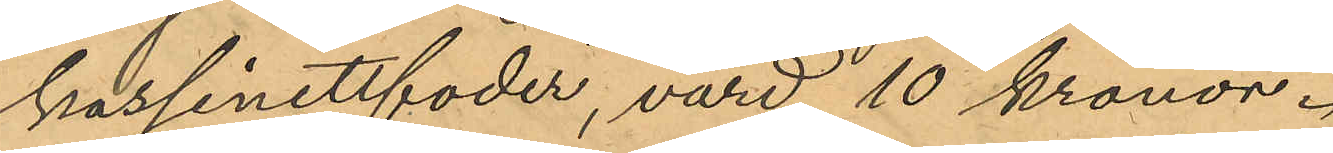kassinettfoder, värd 10 kronor.
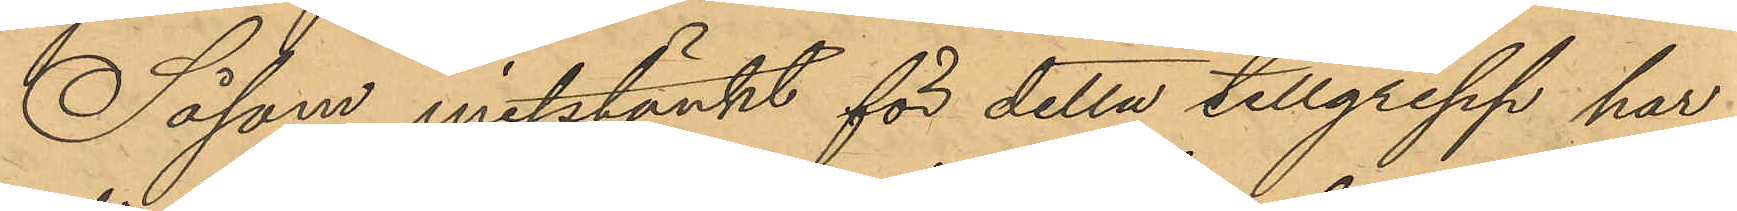Såsom misstänkt för detta tillgrepp har
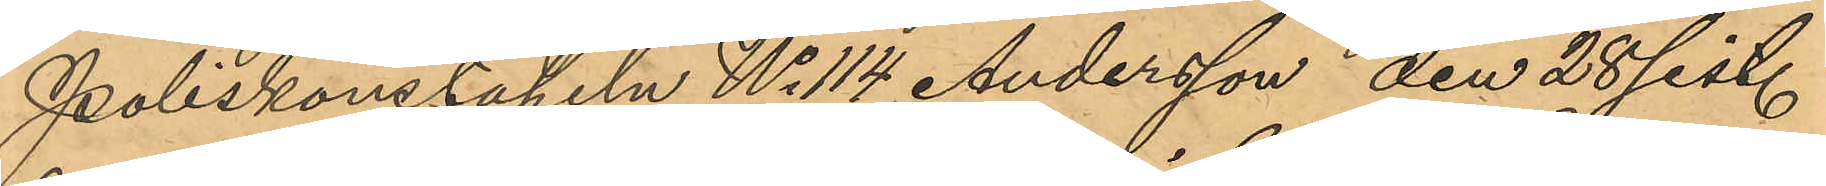Poliskonstapeln No 114 Andersson den 28 sist.
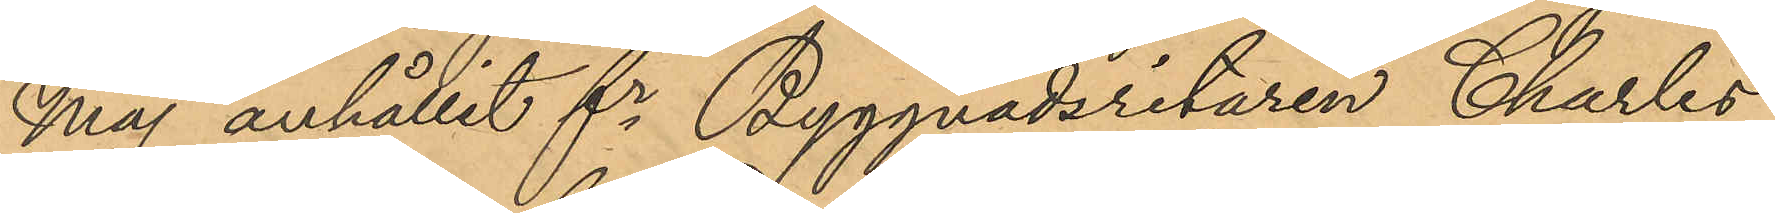Maj anhållit fr Byggnadsritaren Charles
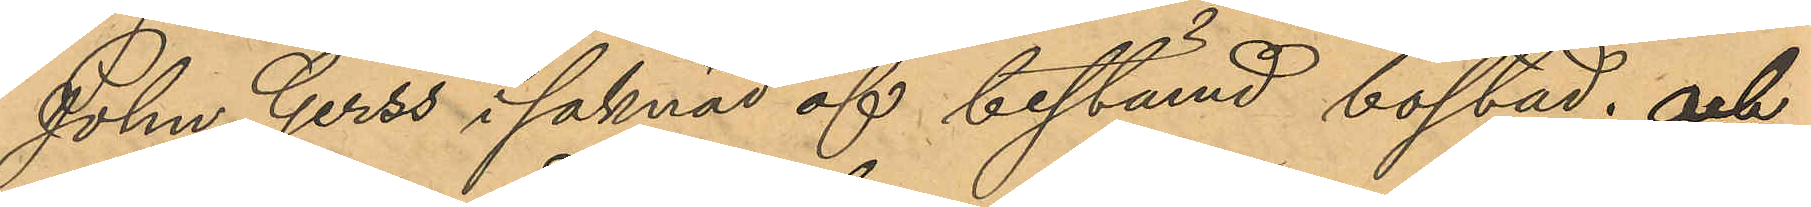John Gerss i saknad af bestämd bostad; och
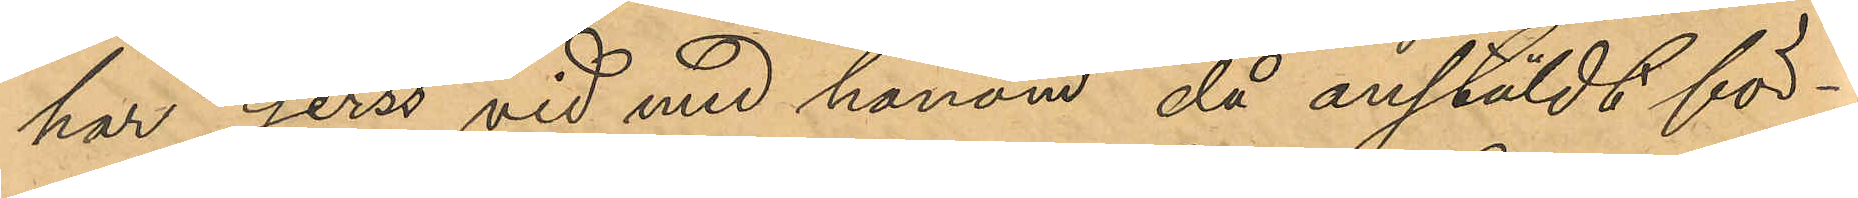har Gerss vid med honom, då anstäldt för¬
